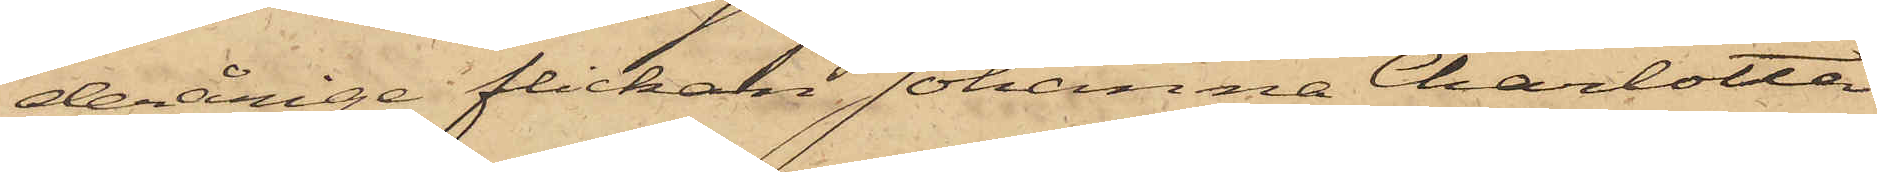derårige flickan Johanna Charlotta
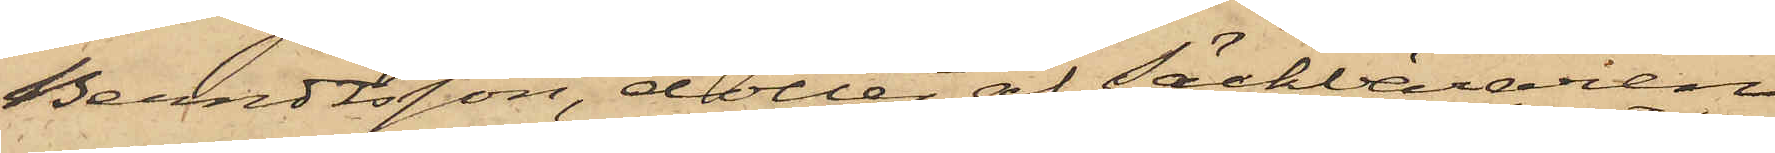Berndtsson, dotter af Säckbäraren
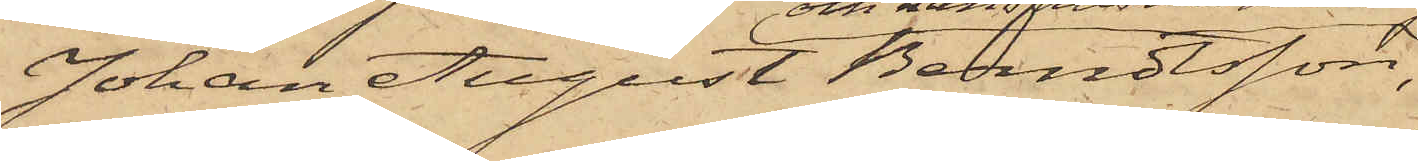Johan August Berndtsson,
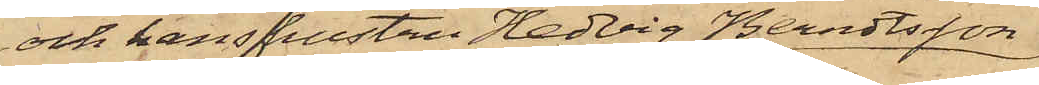och hans hustru Hedvig Berndtsson
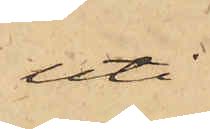uti
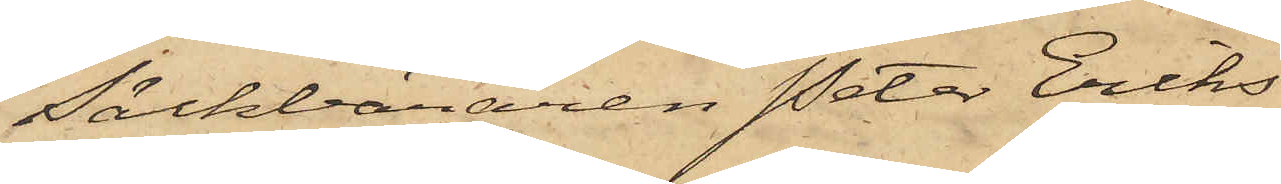Säckbäraren Peter Eriks¬
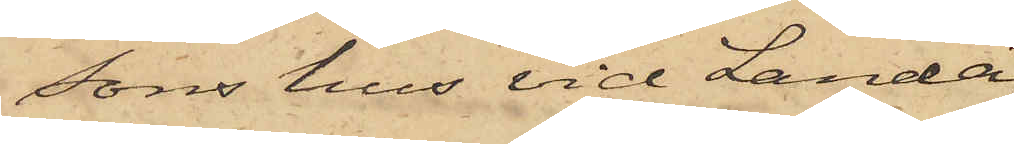sons hus vid Landa¬
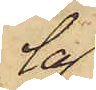la¬
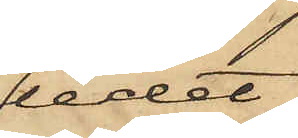ledet.
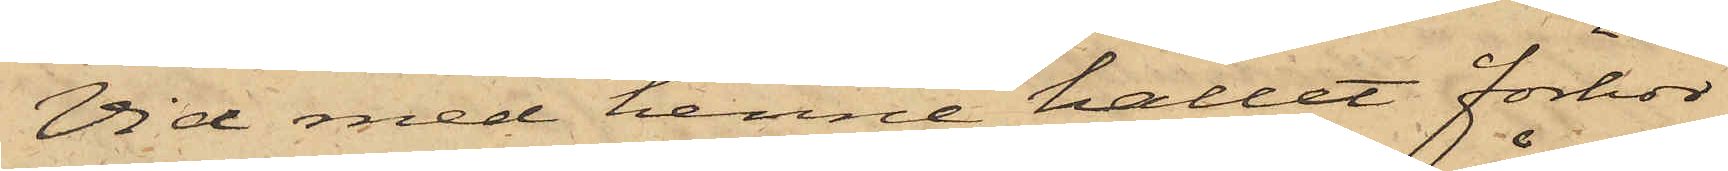Vid med henne hållet förhör
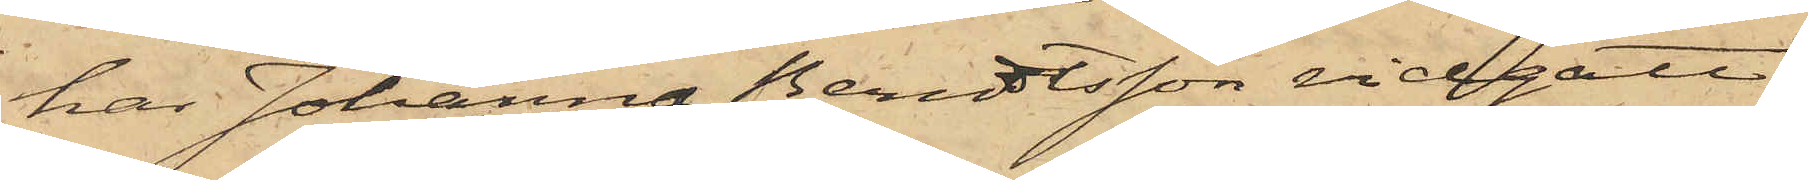har Johanna Berndtsson vidgått,
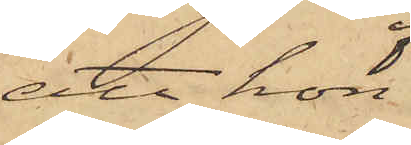att hon
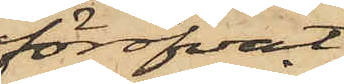föröfvat
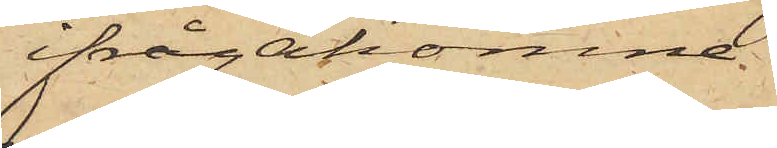ifrågakomne
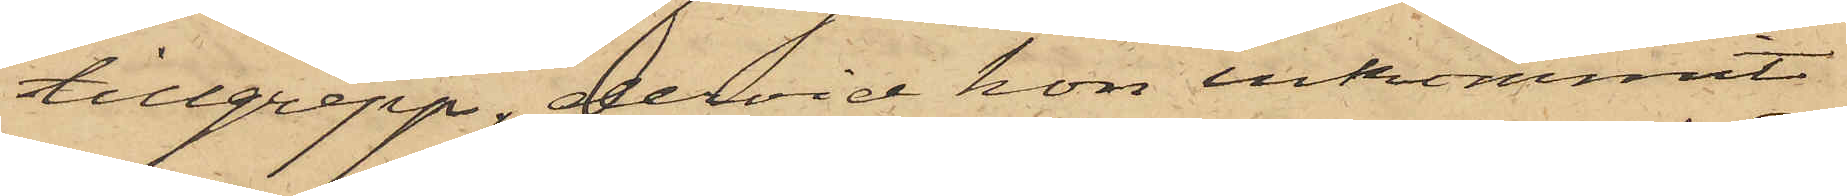tillgrepp, dervid hon inkommit
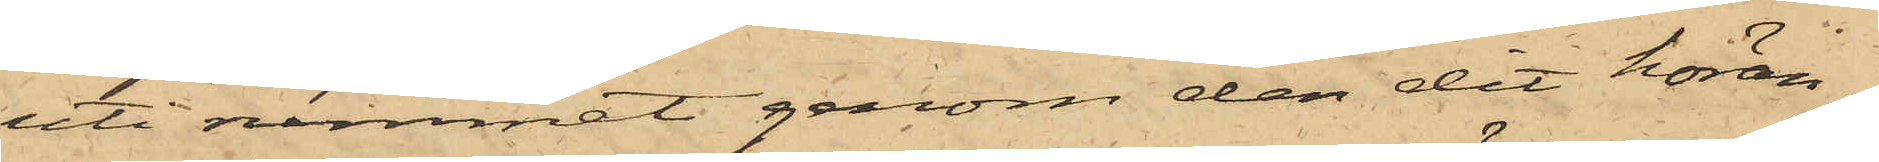uti rummet genom den dit höran¬
